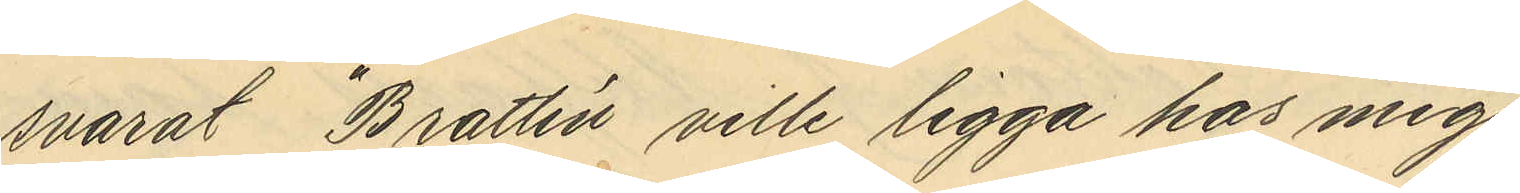svarat "Brattén ville ligga hos mig
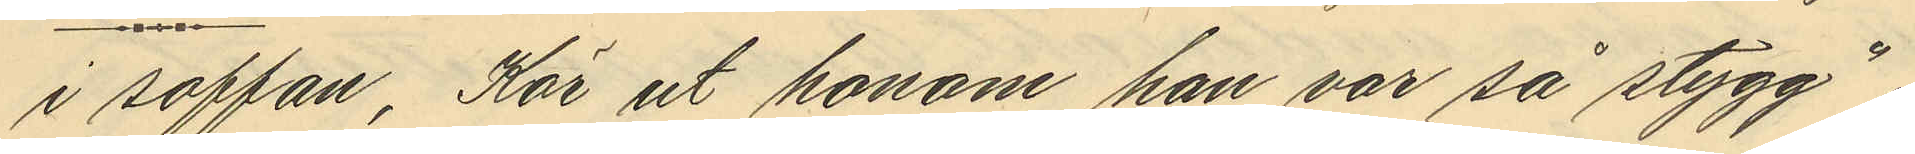i soffan. Kör ut honom han var så stygg",
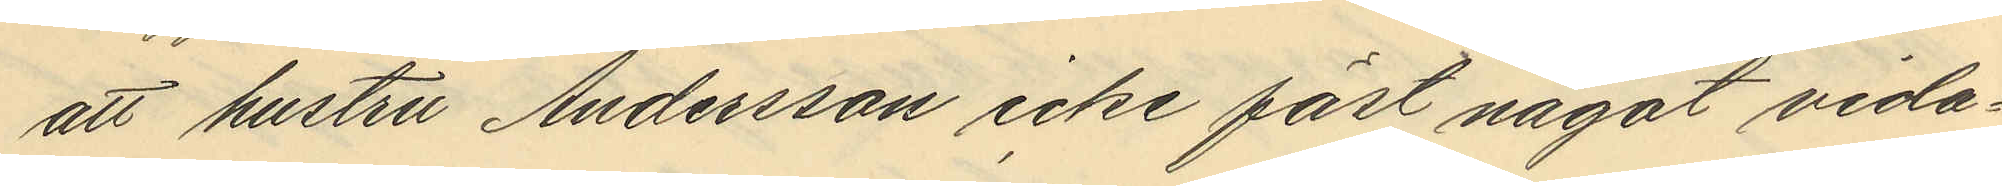att hustru Andersson icke fäst något vida¬
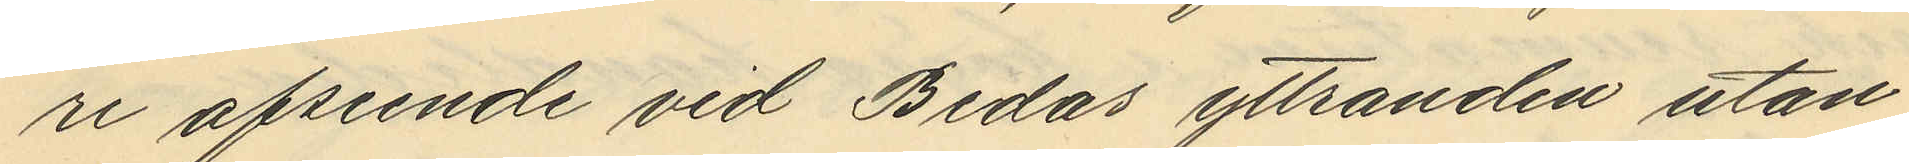re afseende vid Bedas yttranden utan
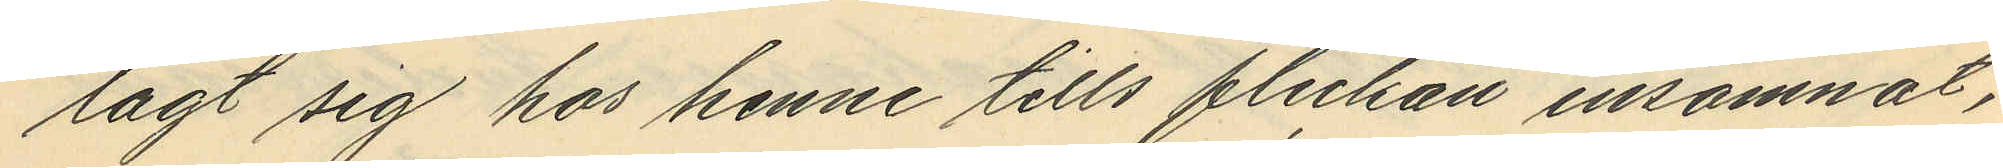lagt sig hos henne tills flickan insomnat,
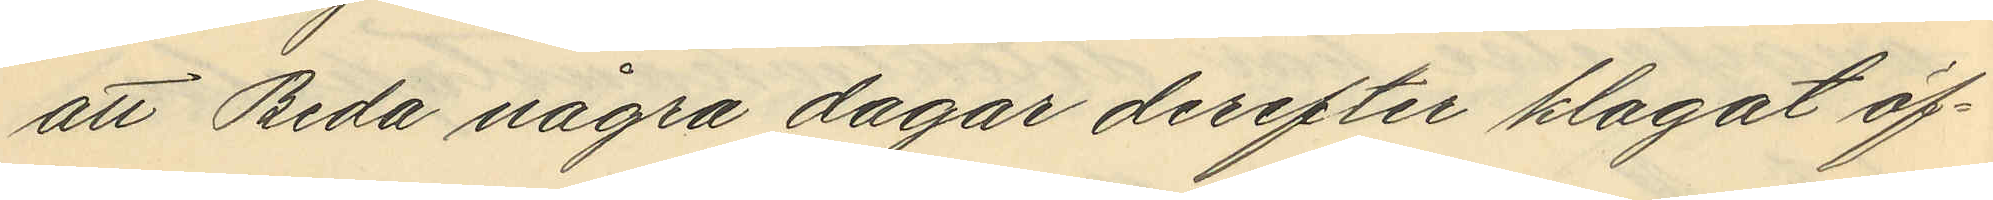att Beda några dagar derefter klagat öf¬
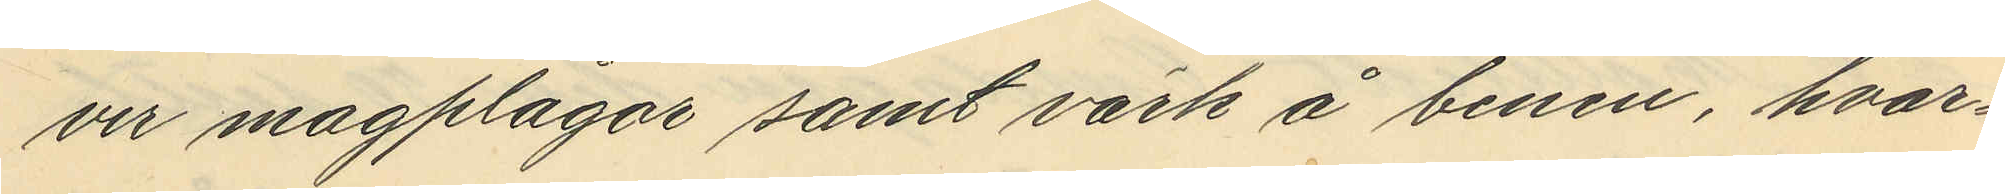ver magplågar samt värk å benen, hvar¬
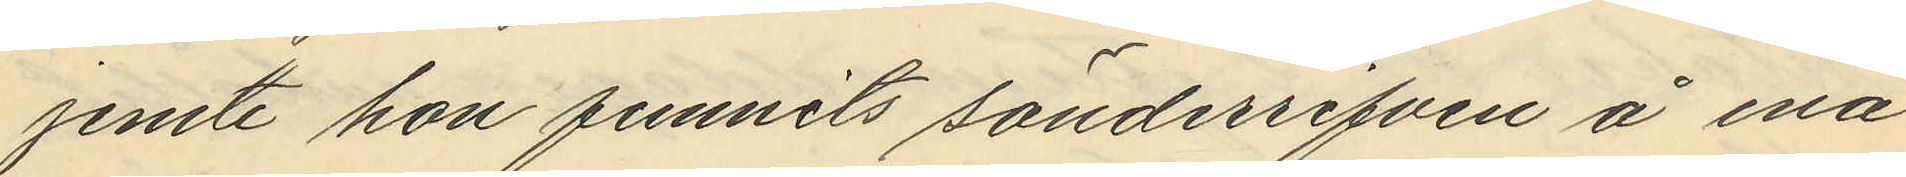jemte hon funnits sönderrifven å ena
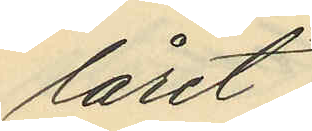låret,
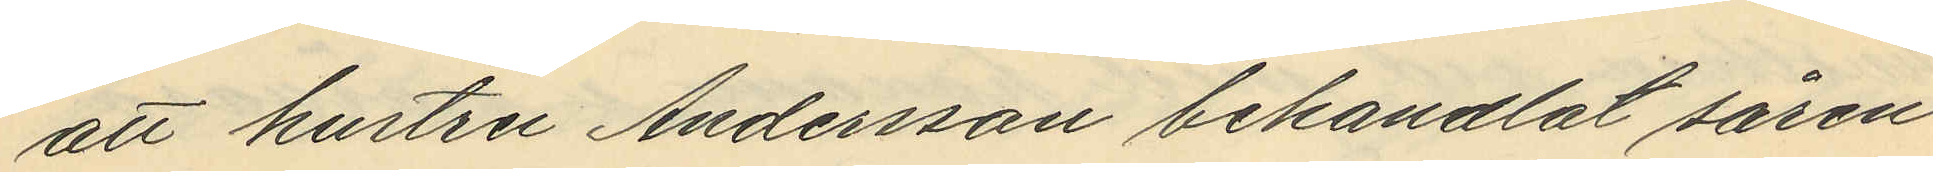att hustru Andersson behandlat såren
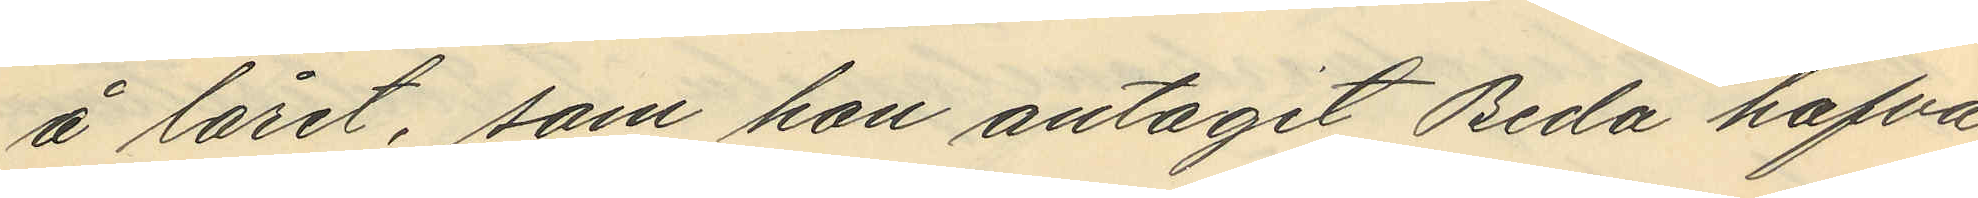å låret, som hon antagit Beda hafva
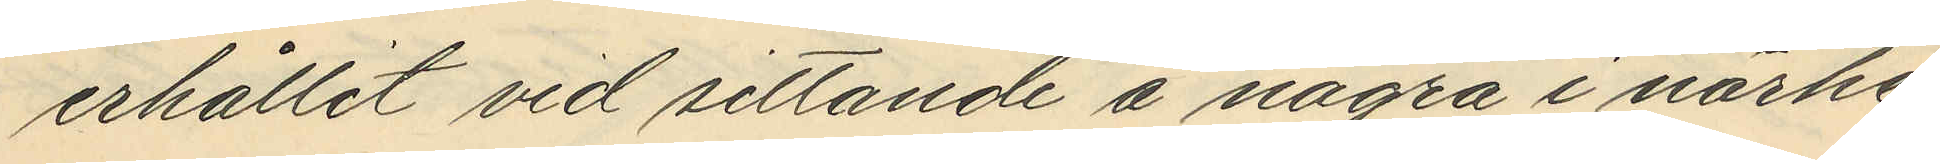erhållit vid sittande å några i närhe¬
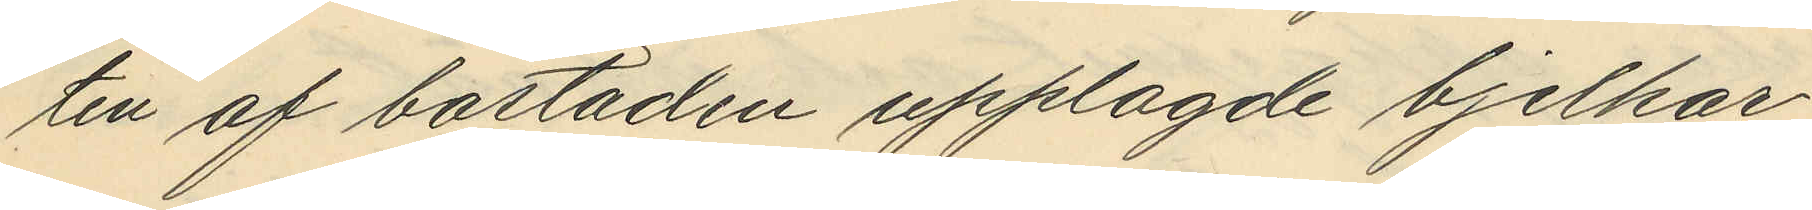ten af bostaden upplagde bjelkar
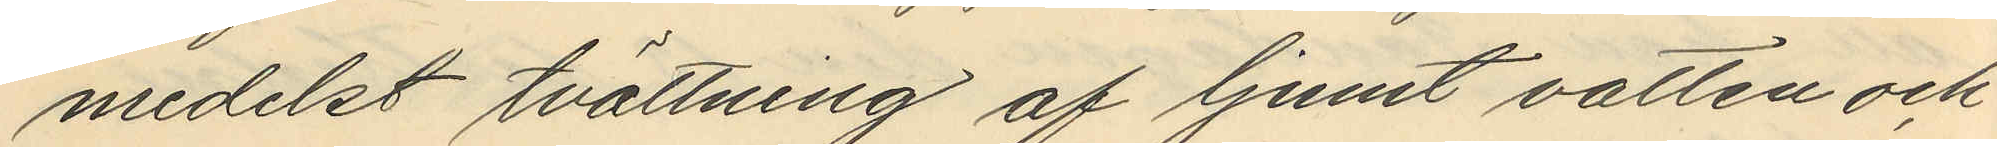medelst tvättning af ljumt vatten och
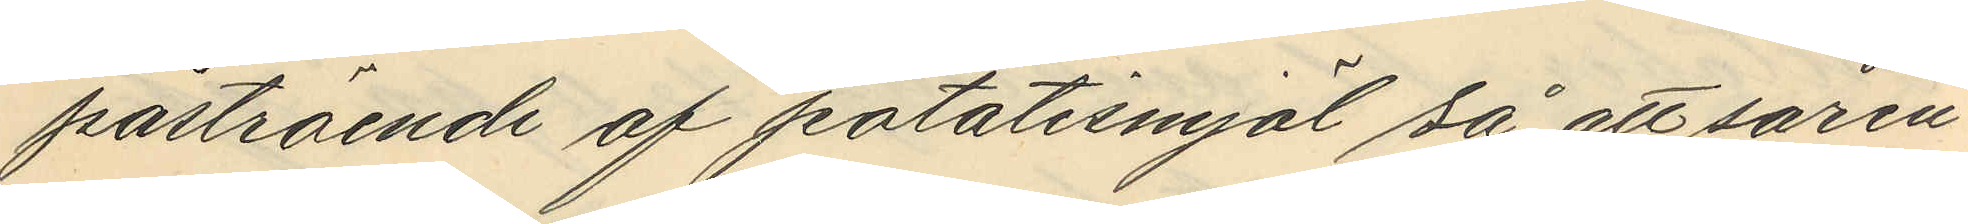påströende af potatismjöl så att såren
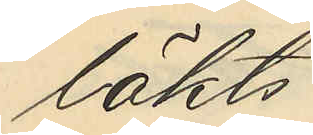läkts
